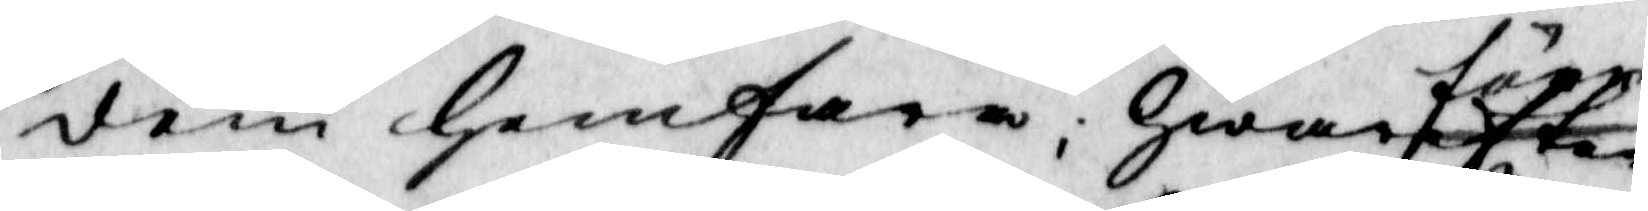dem hemfara; hwarefter före
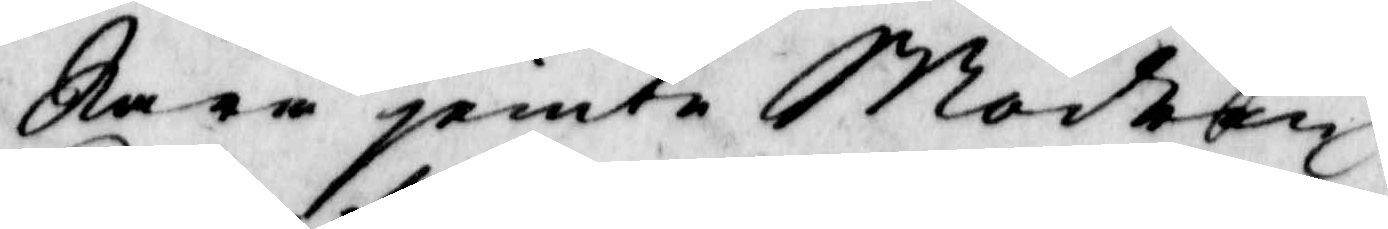Kara jemte Modren
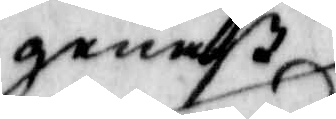genast
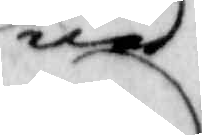ned¬
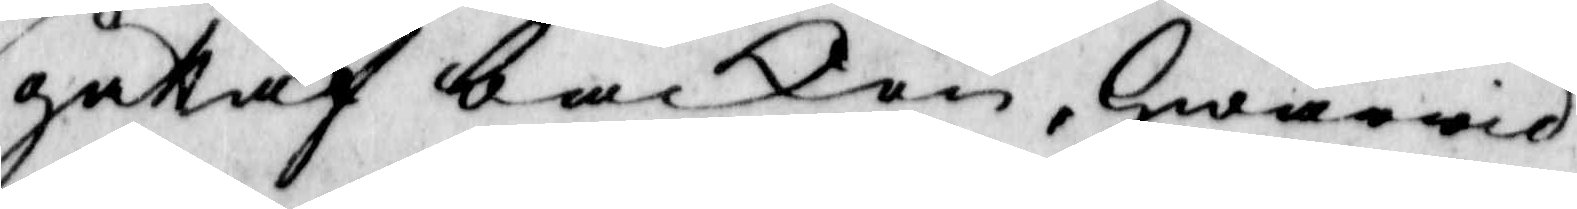gått af backen, hwarwid
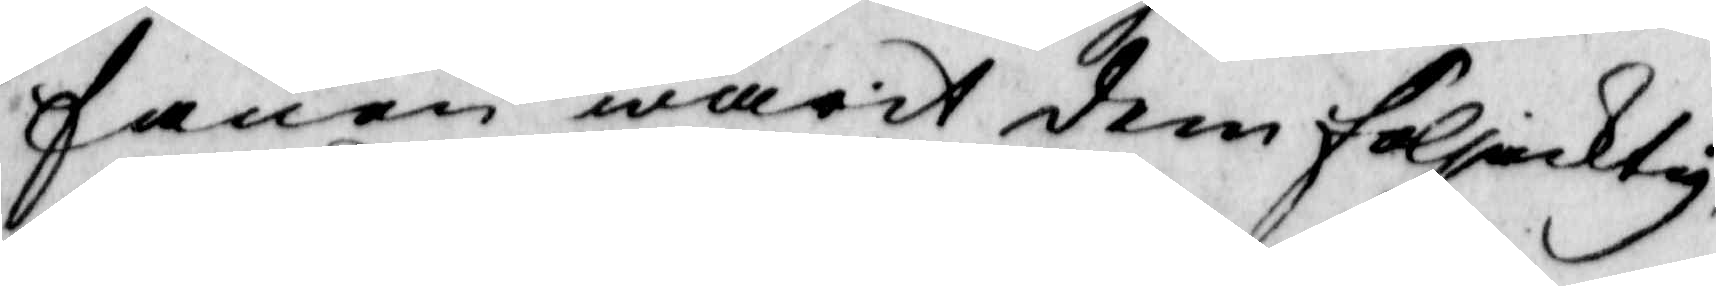fanen warit dem följacktig
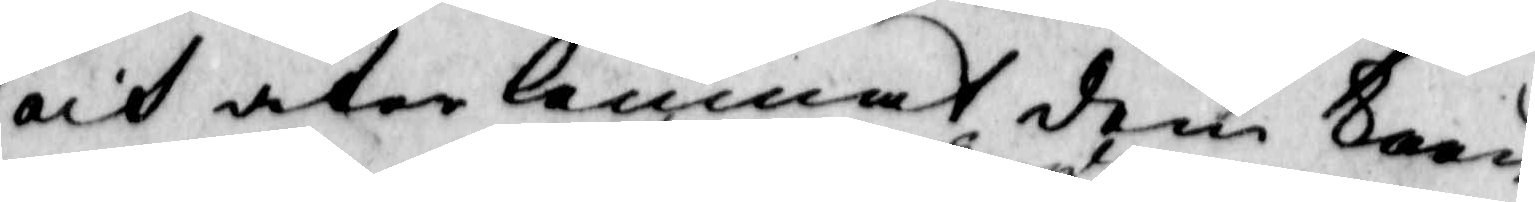och åter lemnat dem koon
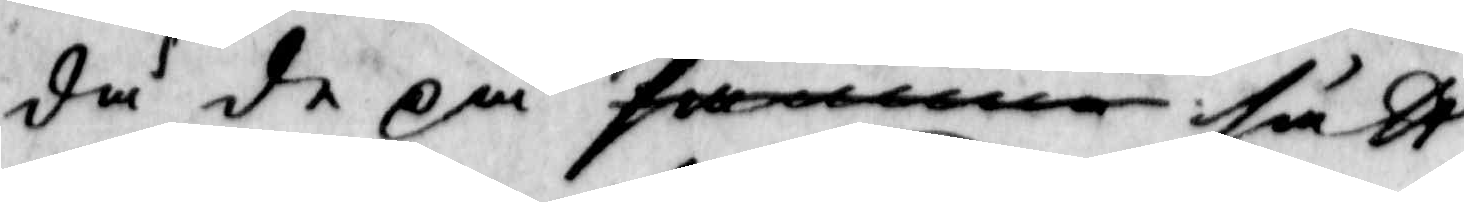då de på formena sätt,
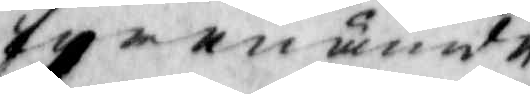förenämnde
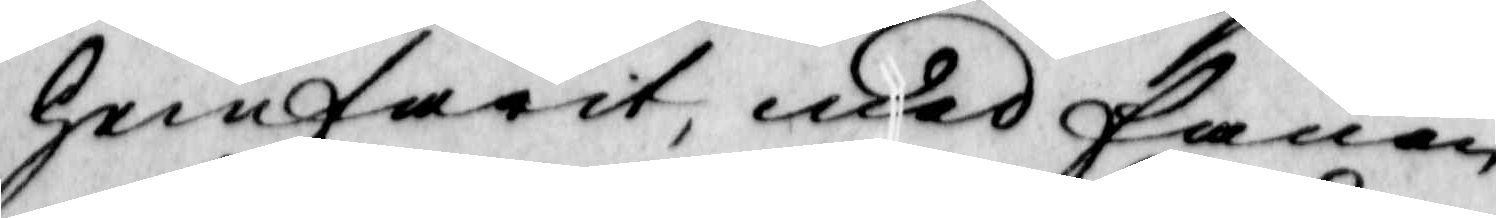hemfarit,med fanen
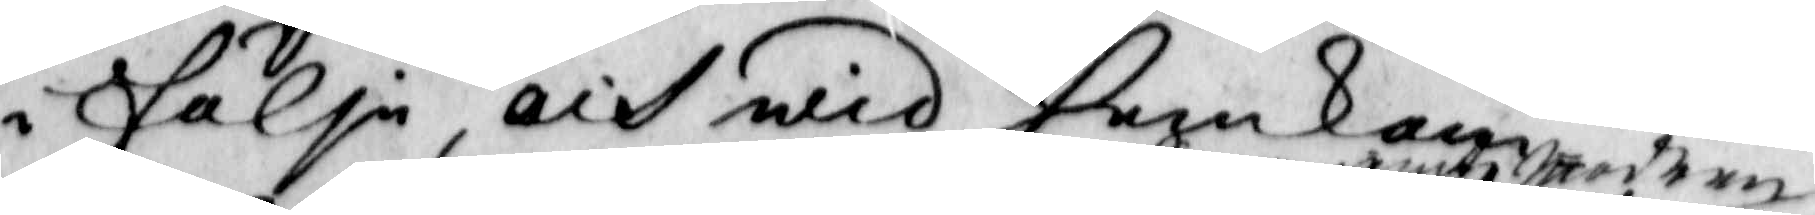i följe, och wid hemkom¬
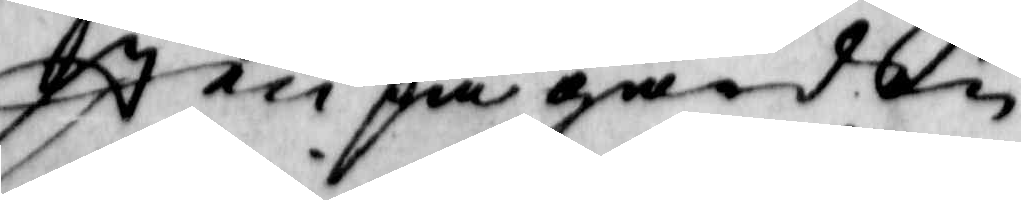sten på gården
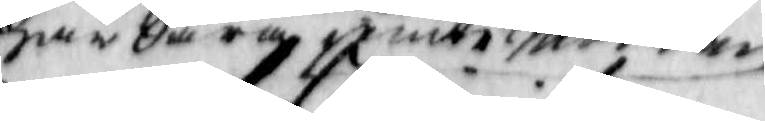har Saraje,te Modren
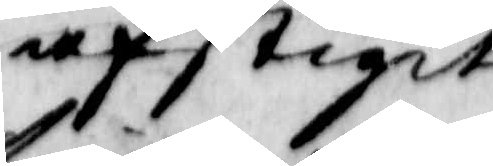afstigit
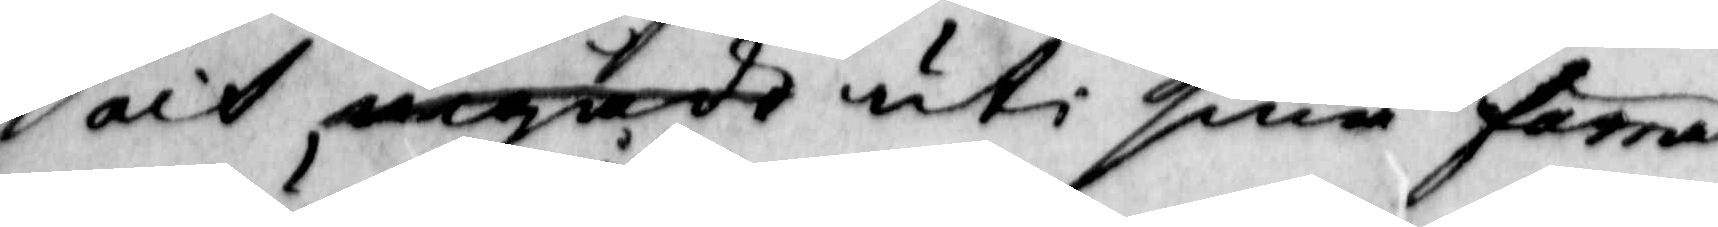och ingådt uti sina förra
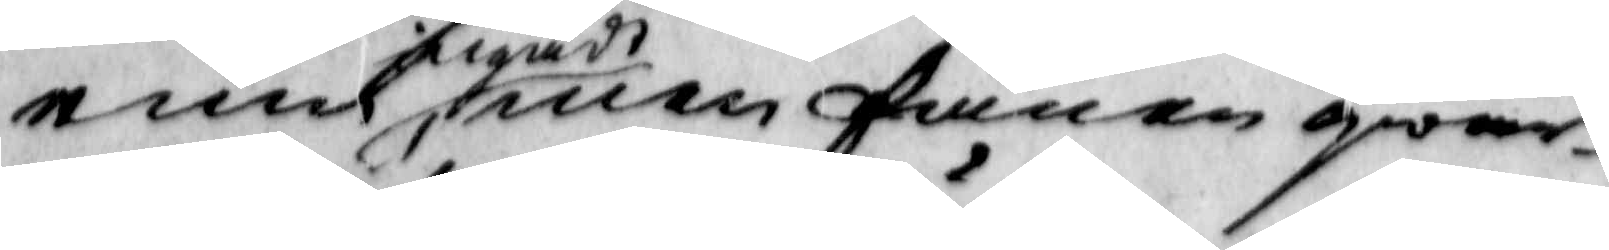rum ingådt, men fanen qwar¬
